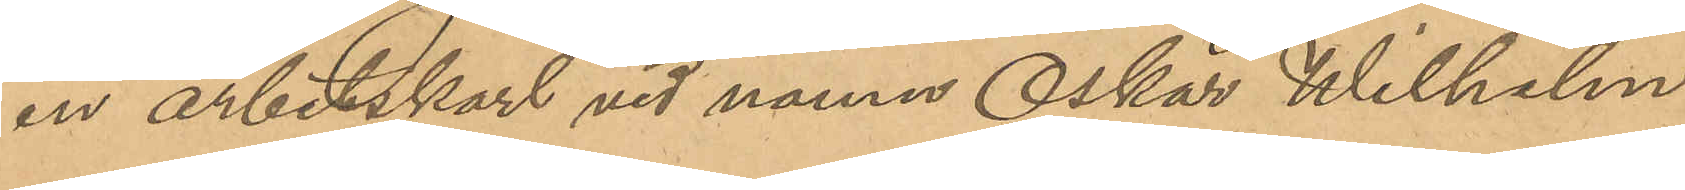en arbetskarl vid namn Oskar Wilhelm
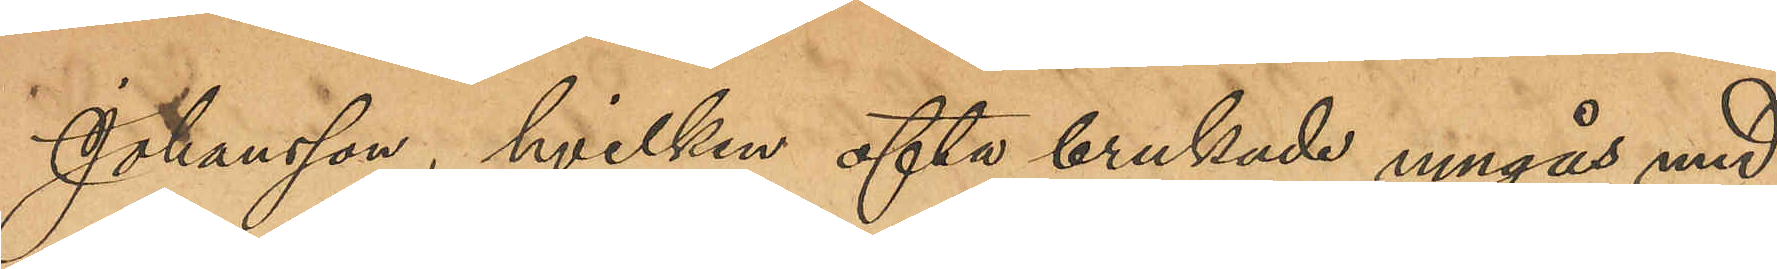Johansson, hvilken ofta brukade umgås med
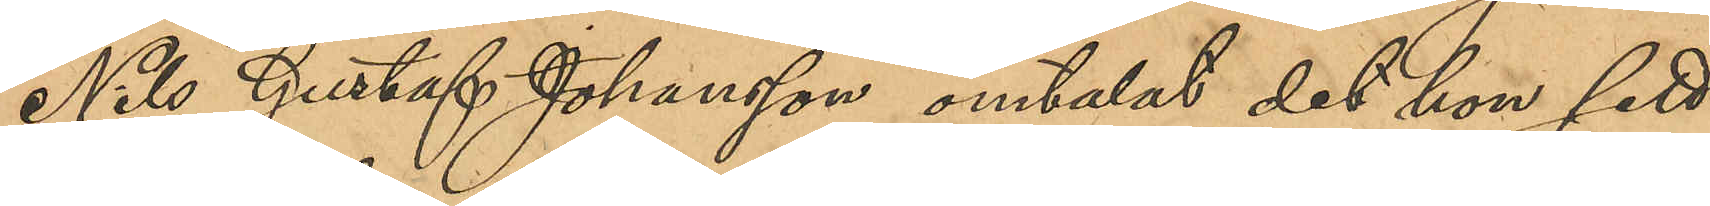Nils Gustaf Johansson omtalat det hon sett
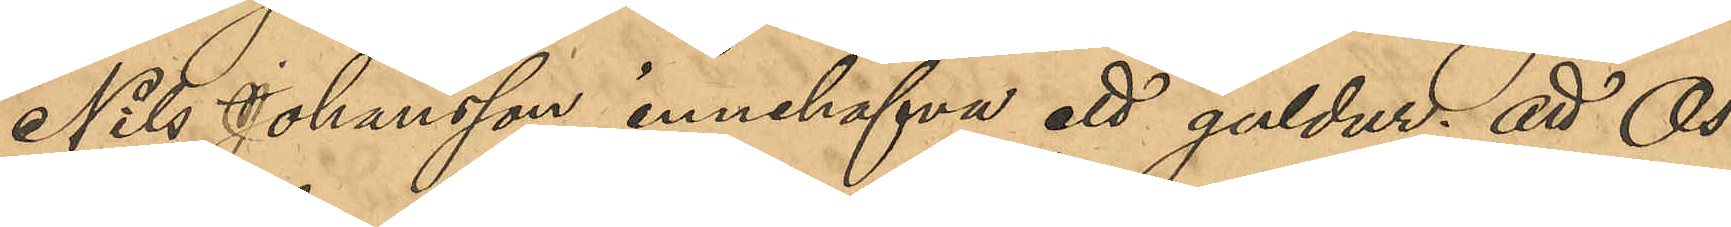Nils Johansson innehafva ett guldur; att Os¬
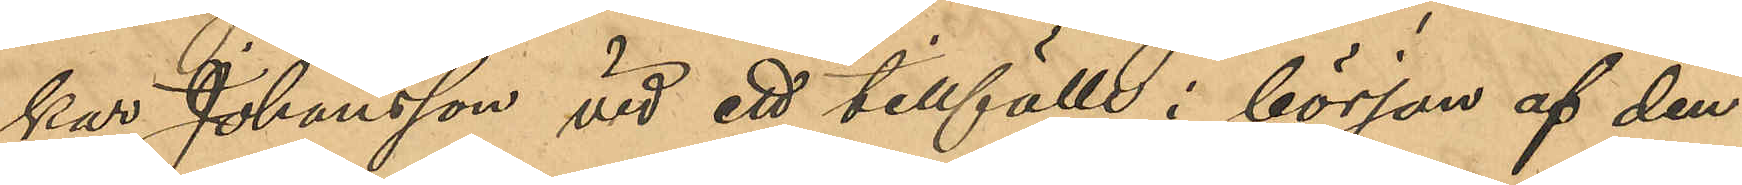kar Johansson vid ett tillfälle i början af den¬
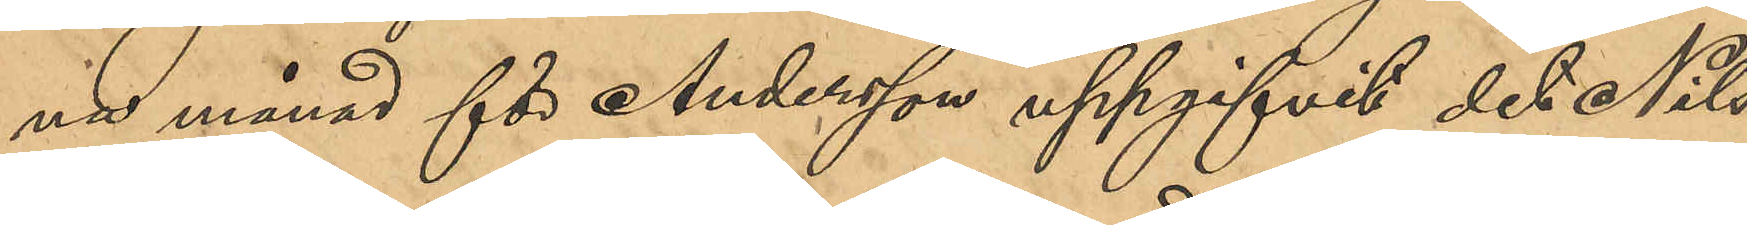na månad för Andersson uppgifvit det Nils
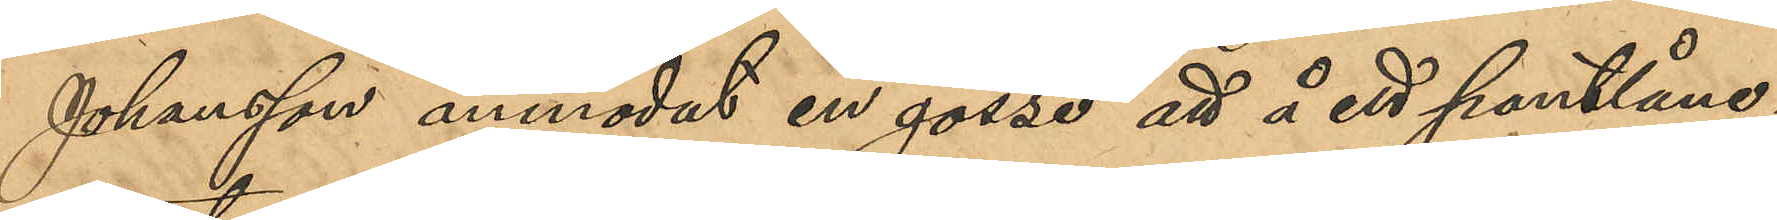Johansson anmodat en gosse att å ett pantlåne¬
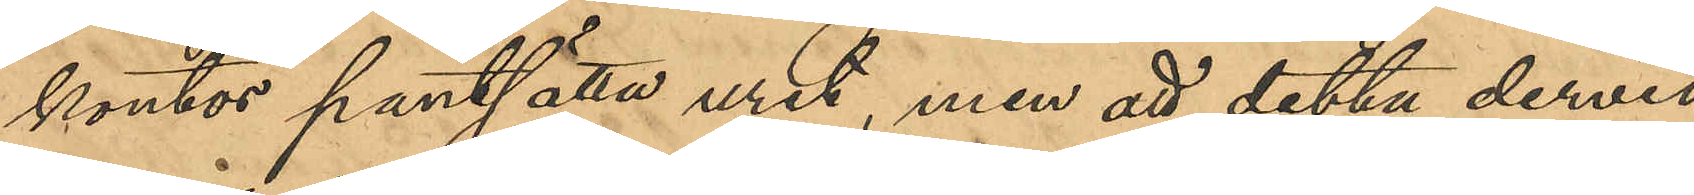kontor pantsätta uret, men att detta dervid
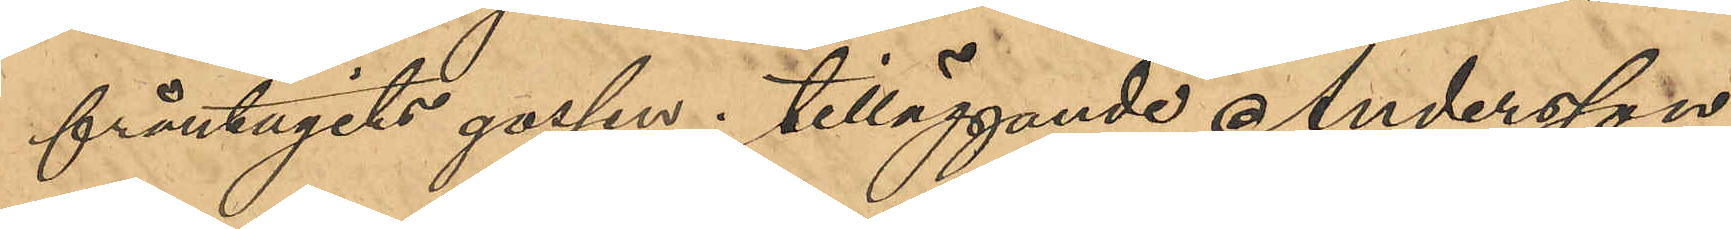fråntagits gossen; tilläggande Andersson,
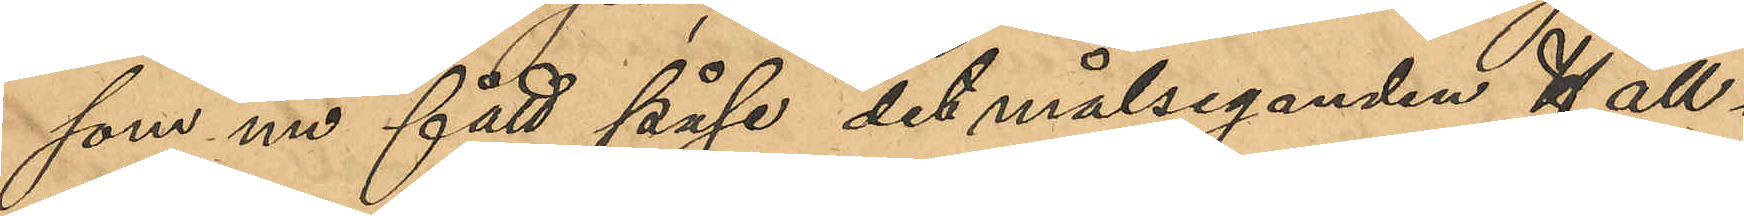som nu fått påse målseganden Häll¬
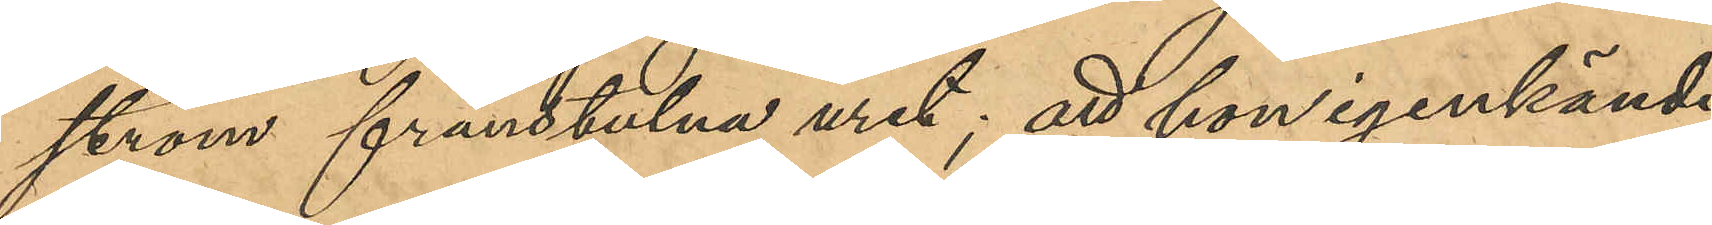ströms frånstulna uret; att hon igenkände
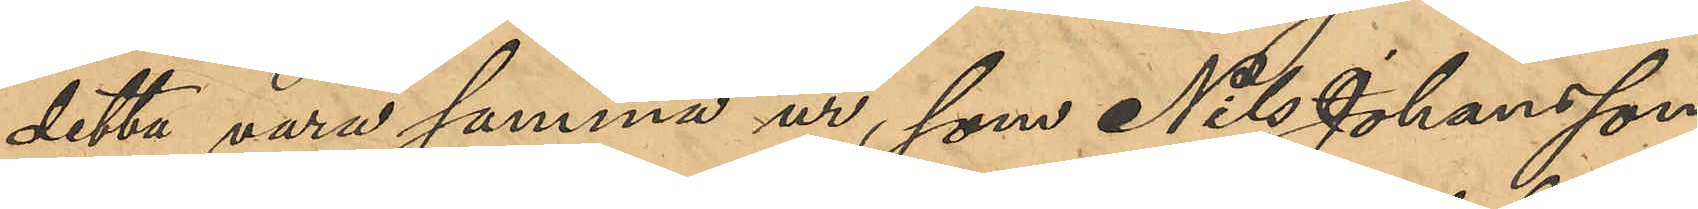detta vara samma ur, som Nils Johansson
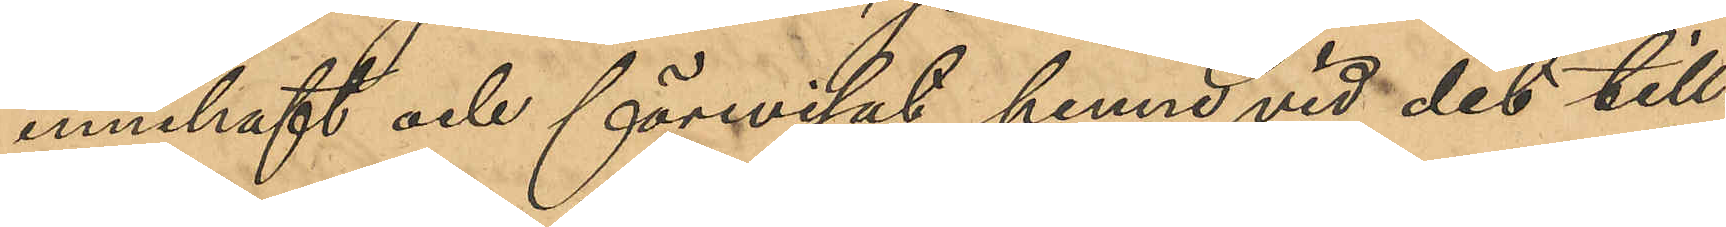innehaft och förevisat henne vid det till¬
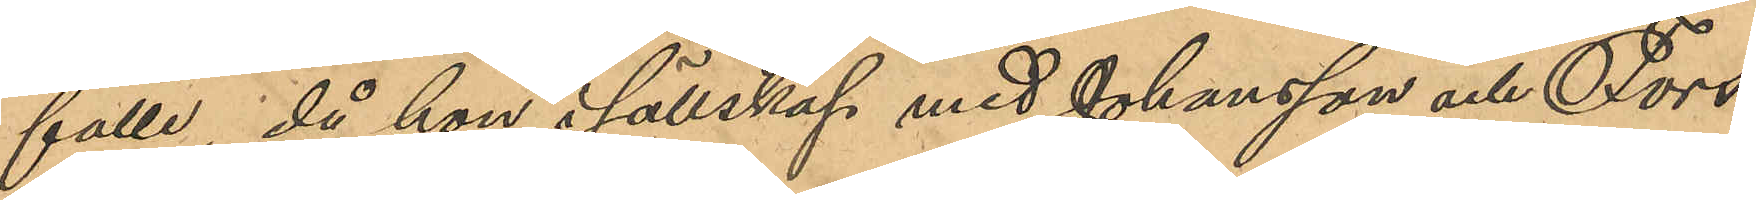fälle, då hon i sällskap med Johansson och Fors¬
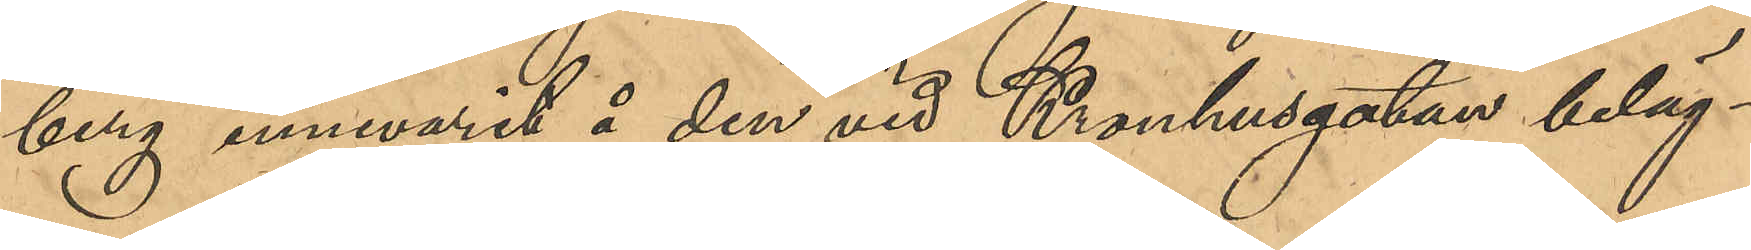berg innevarit å den vid Kronhusgatan beläg¬
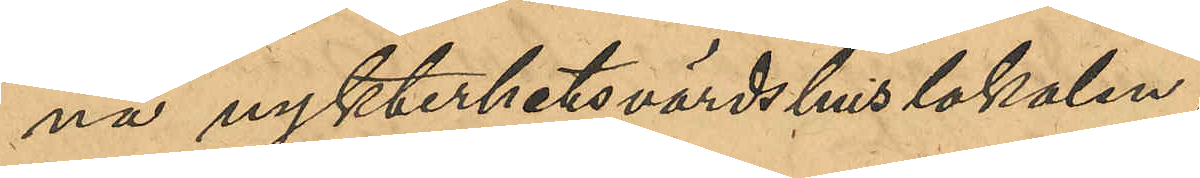na nykterhetsvärdshuslokalen;
